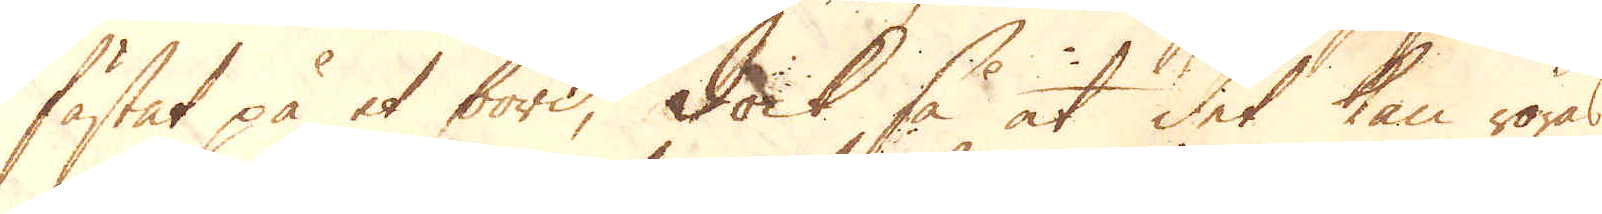fästat på et bord, dock så at det kan röras
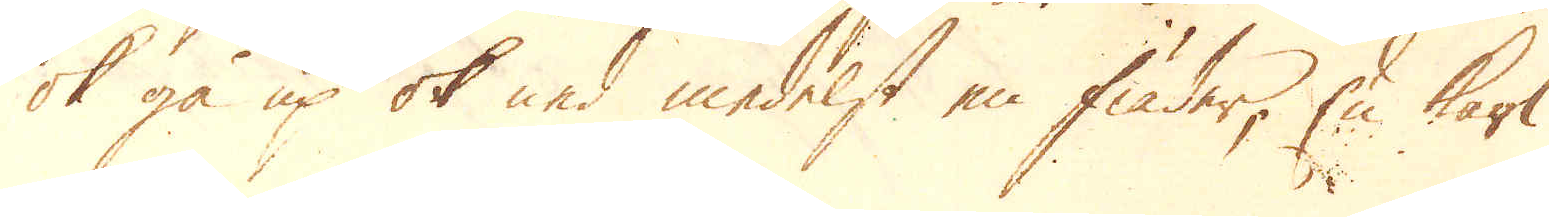ok gå up ok ned medelst en fiäder; En karl
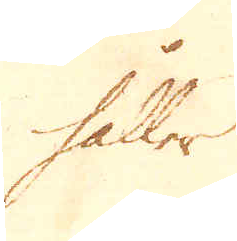håller
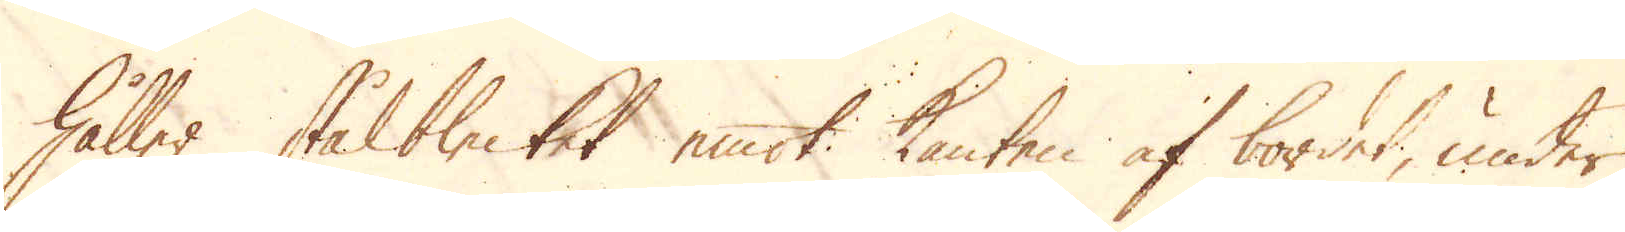håller stålblecket emot kanten af bordet, under
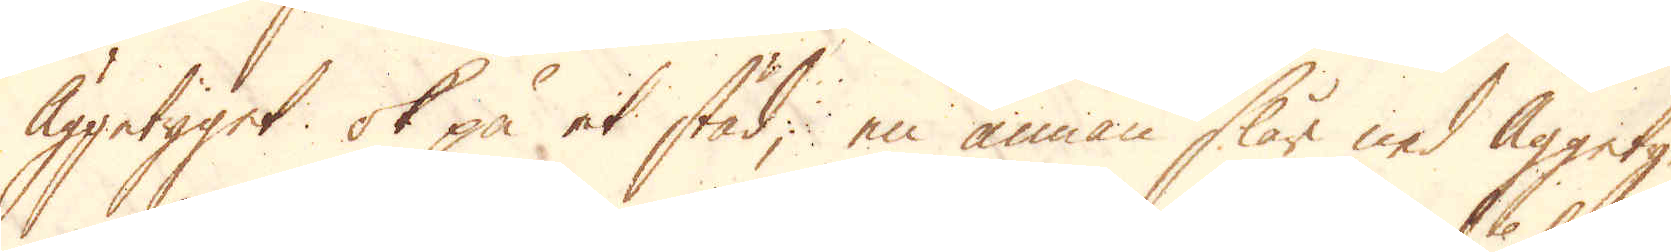Äggetyget ok på et städ, en annan slår ned Äggety-
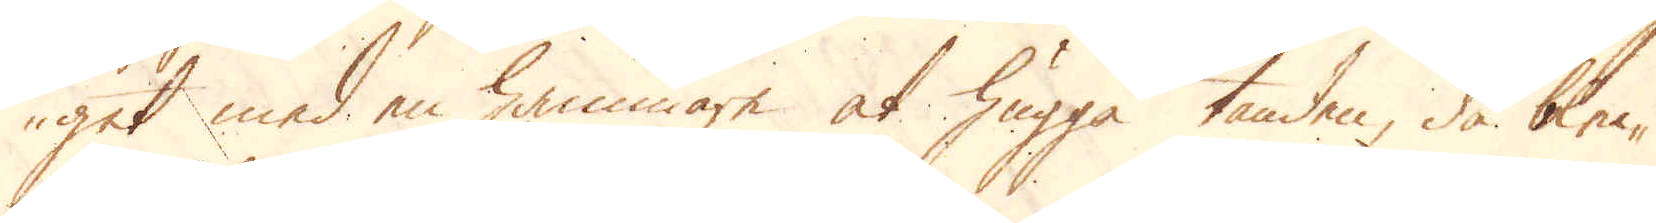get med en hammare at hugga tanden, då blec-
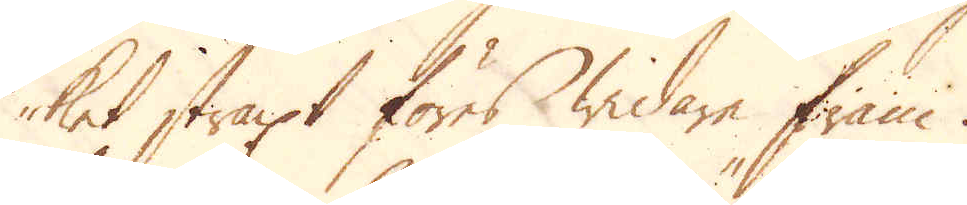ket straxt föres widare fram.
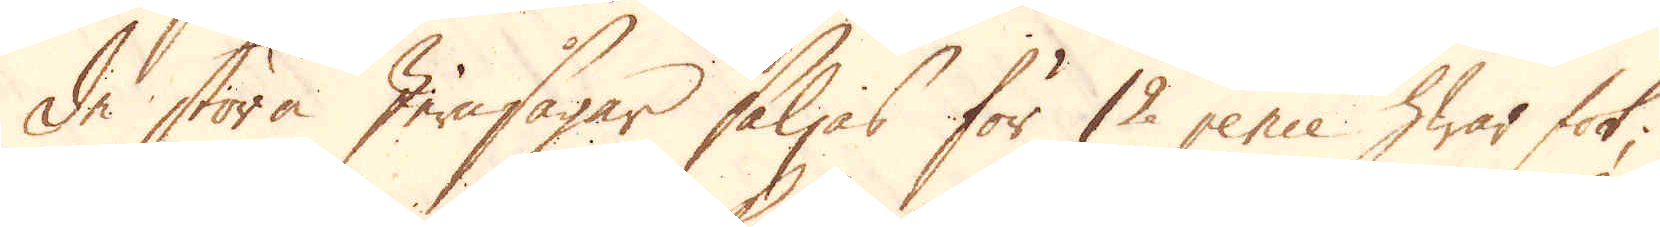De stora Jernsågar säljas för 12 pence hwar fot;
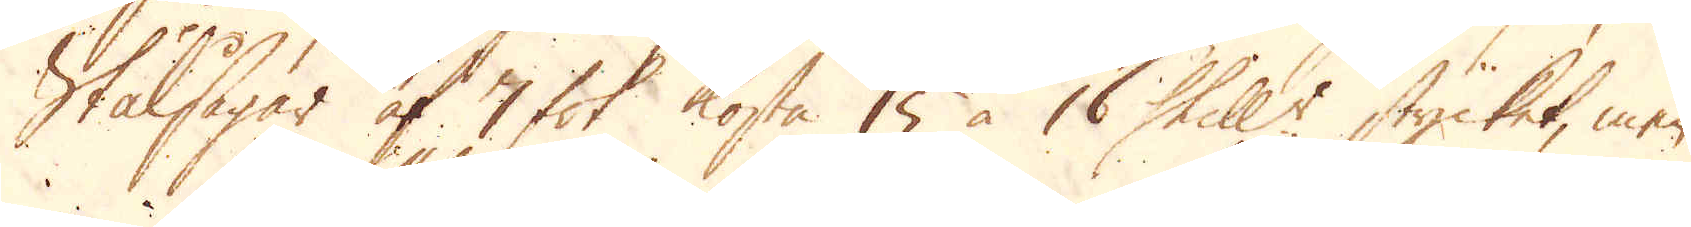Stålsågar af 7 fot kosta 15 à 16 Skill:r stycket, mer
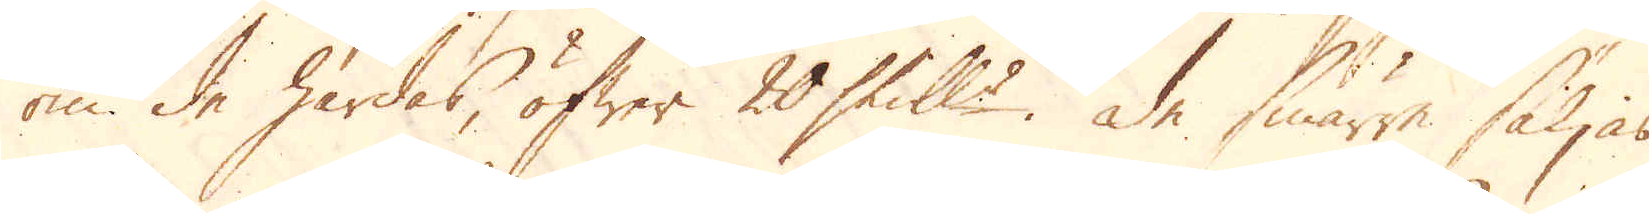om de härdas, öfwer 20 skill:r. De smärre säljas
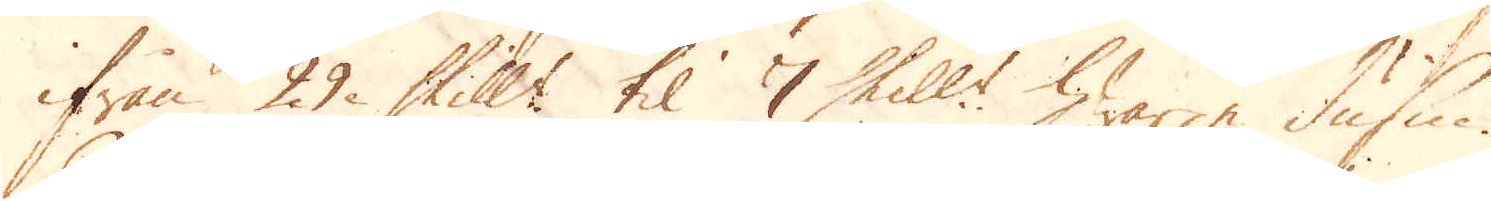ifrån 29 Skill:r til 7 Skill:r hwarje dussin.
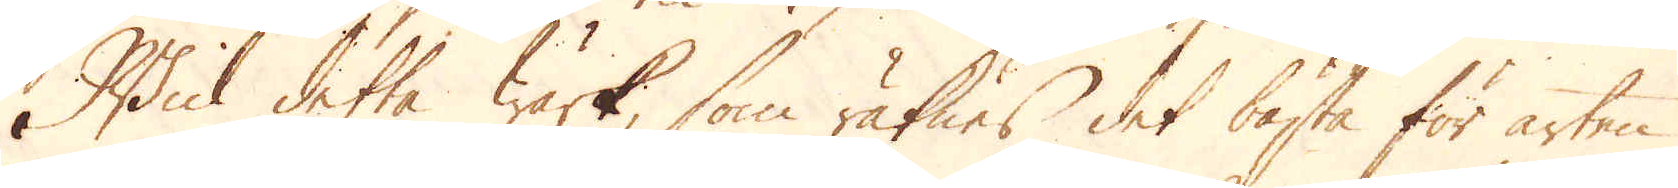Hwid detta Wärk, som räknes det bästa för arten
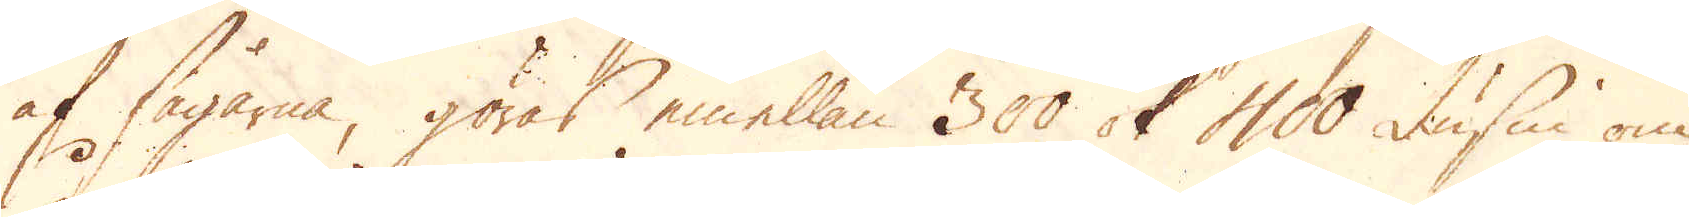af sågarne, göras emellan 300 ok 400 dussin om
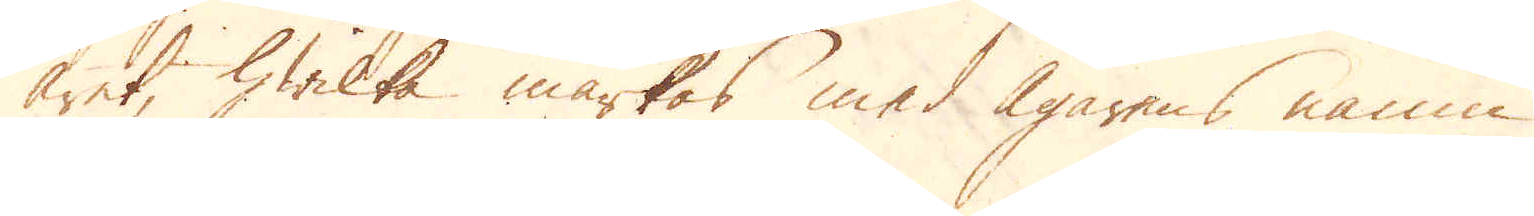året, hwilka märkas med Ägarens namn
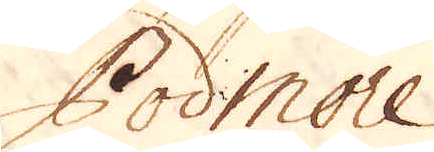Podmore.
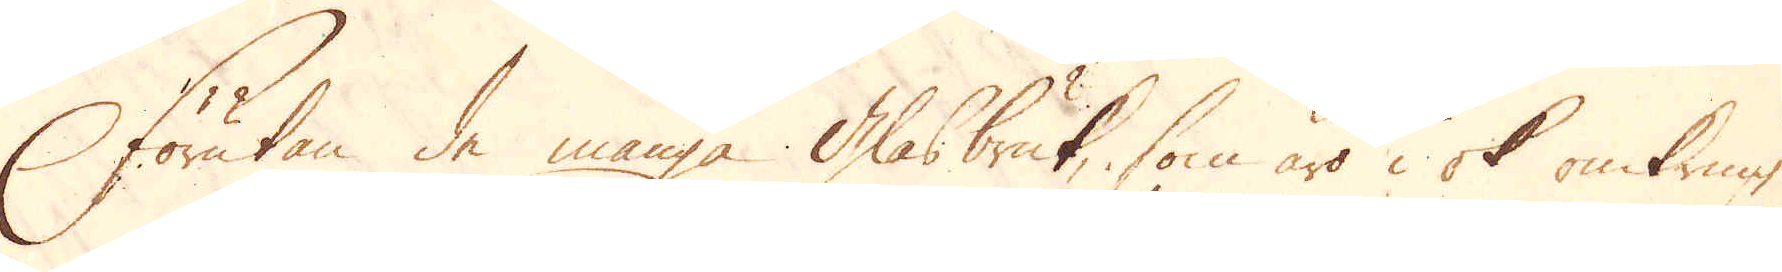Förutan de många Glasbruk, som äro i ok omkring
